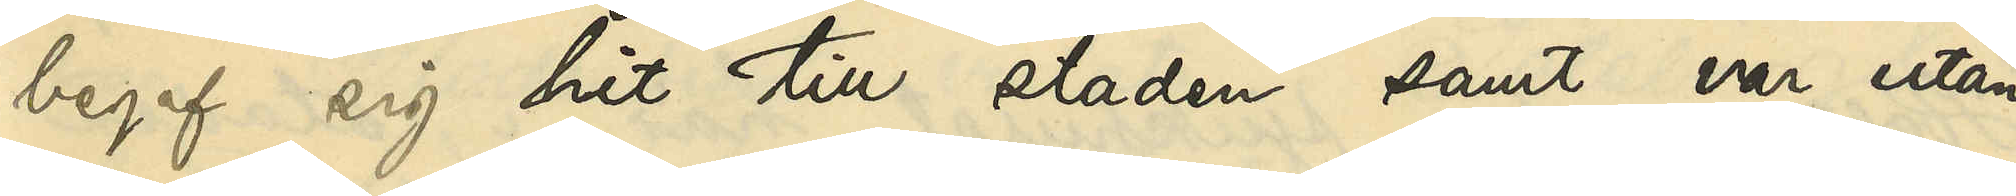begaf sig hit till staden samt var utan
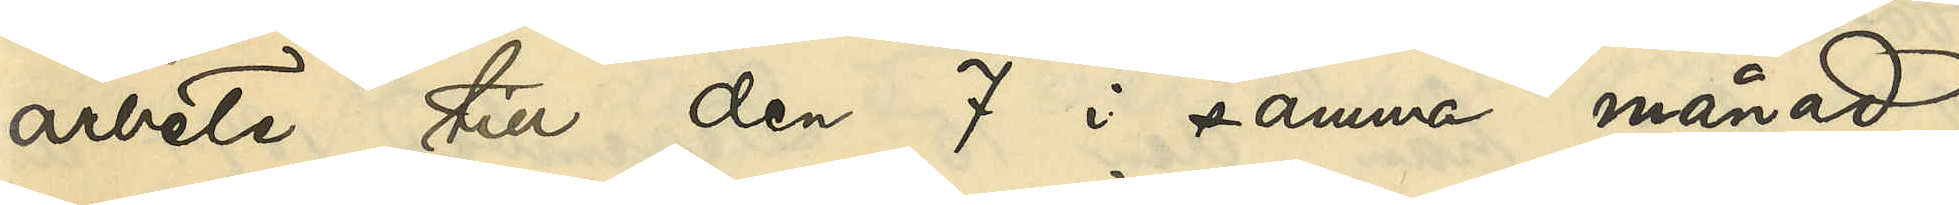arbete till den 7 i samma månad,
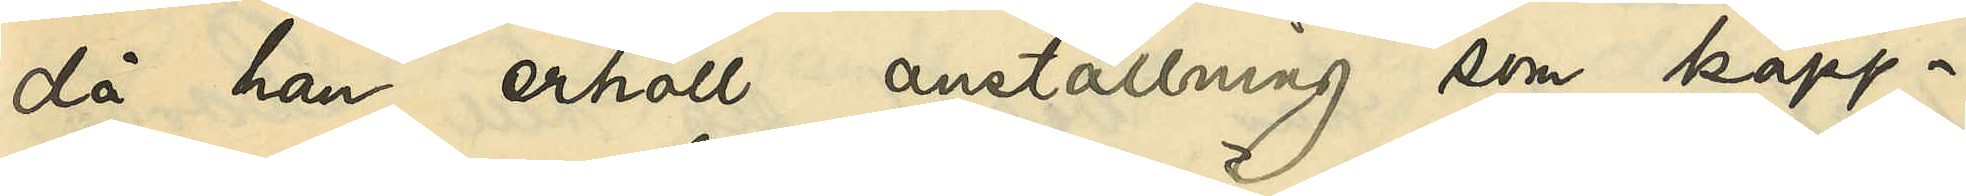då han erhöll anställning som kapp¬
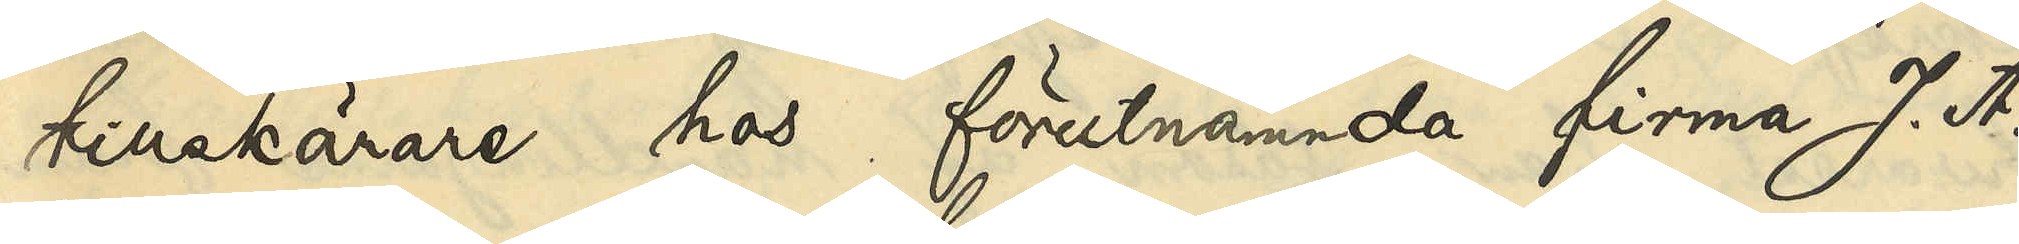tillskärare hos förutnämnde firma J. A.
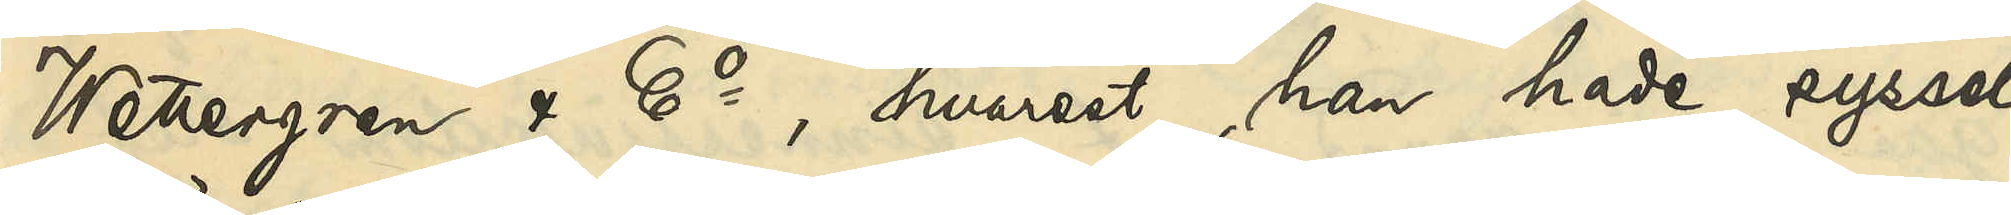Wettergren & Co, hvarest han hade syssel¬
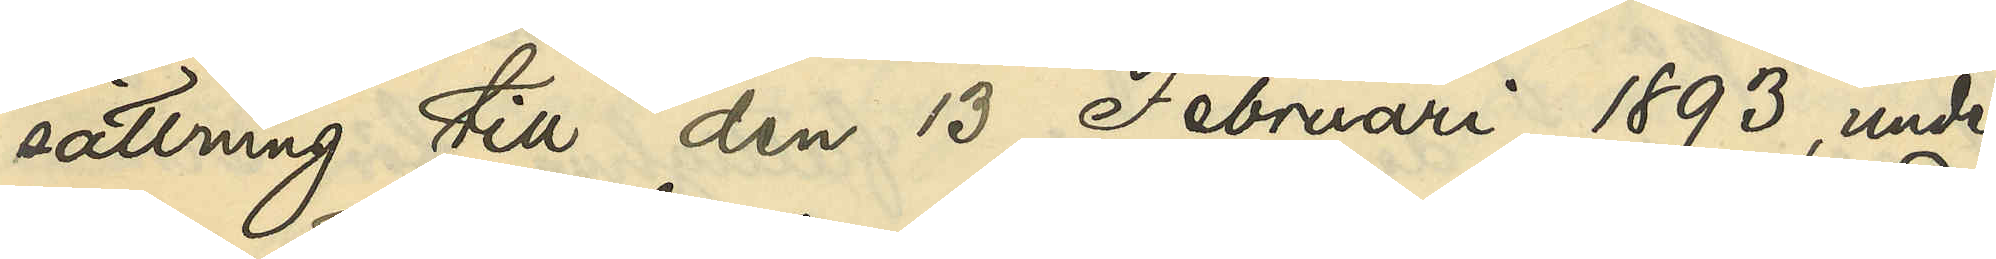sättning till den 13 Februari 1893, under
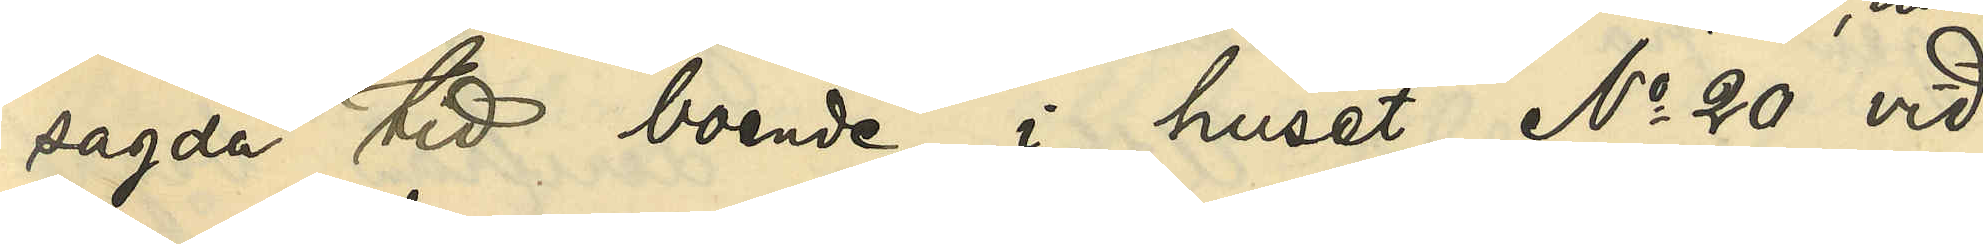sagda tid boende i huset No 20 vid
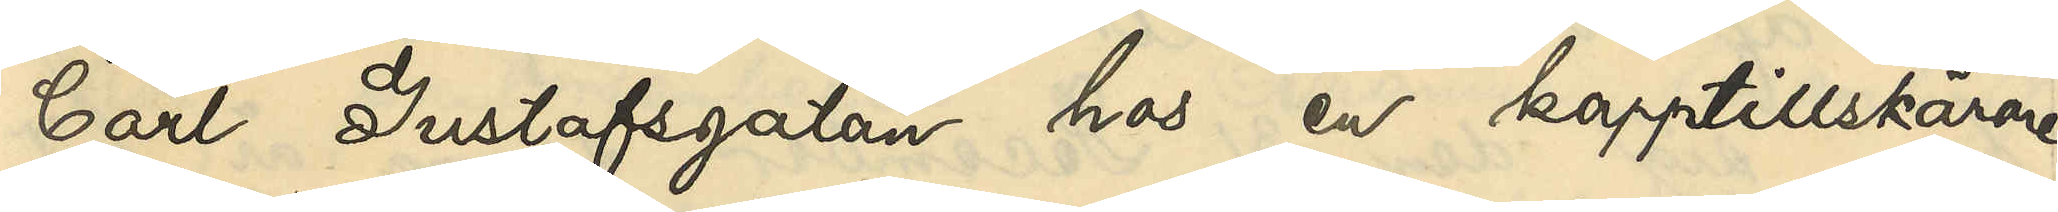Carl Gustafsgatan hos en kapptillskärare
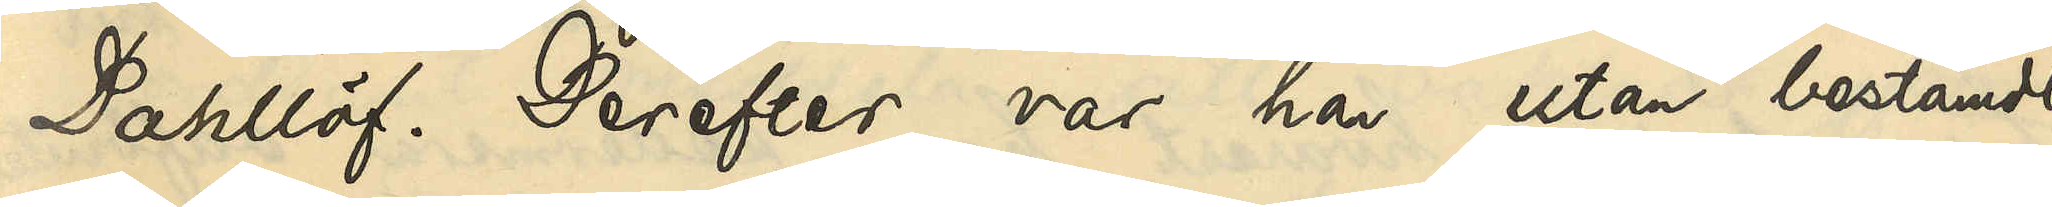Dahllöf. Derefter var han utan bestämdt
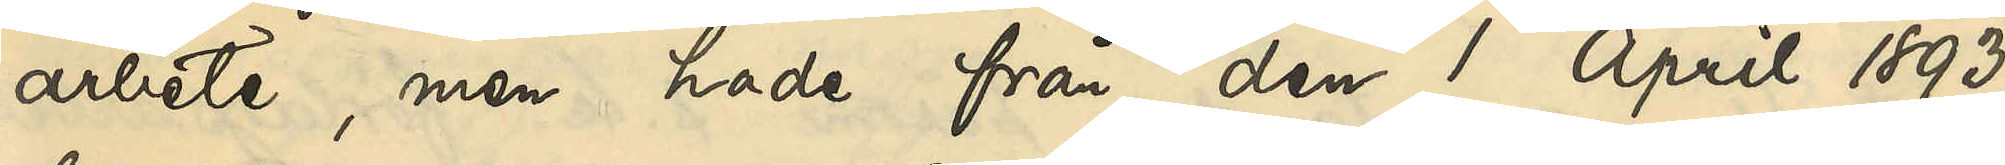arbete, men hade från den 1 April 1893
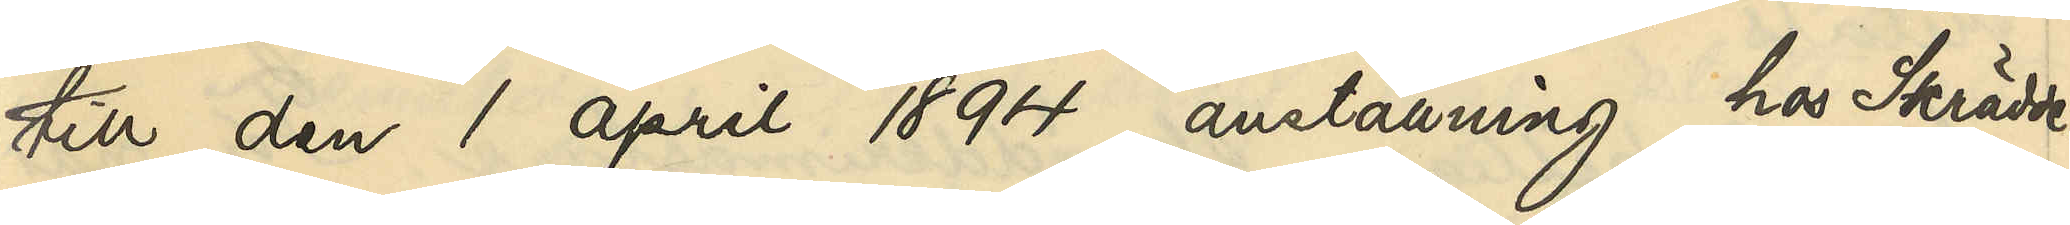till den 1 april 1894 anställning hos Skrädde¬
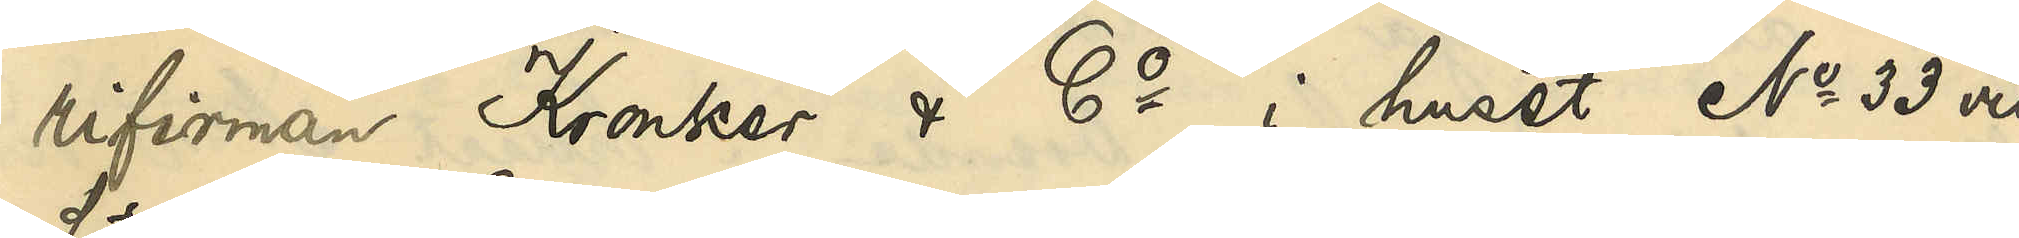rifirman Kronker & Co i huset No 33 vid
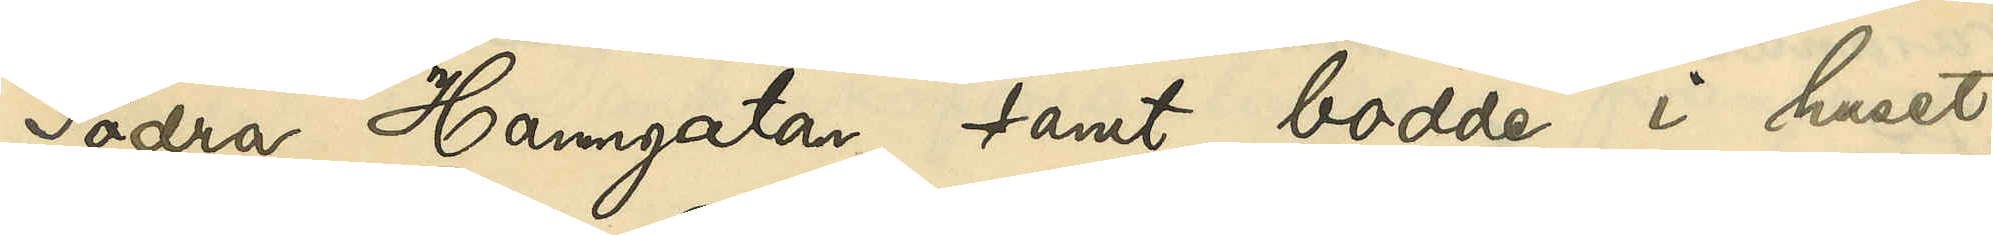Södra Hamngatan samt bodde i huset
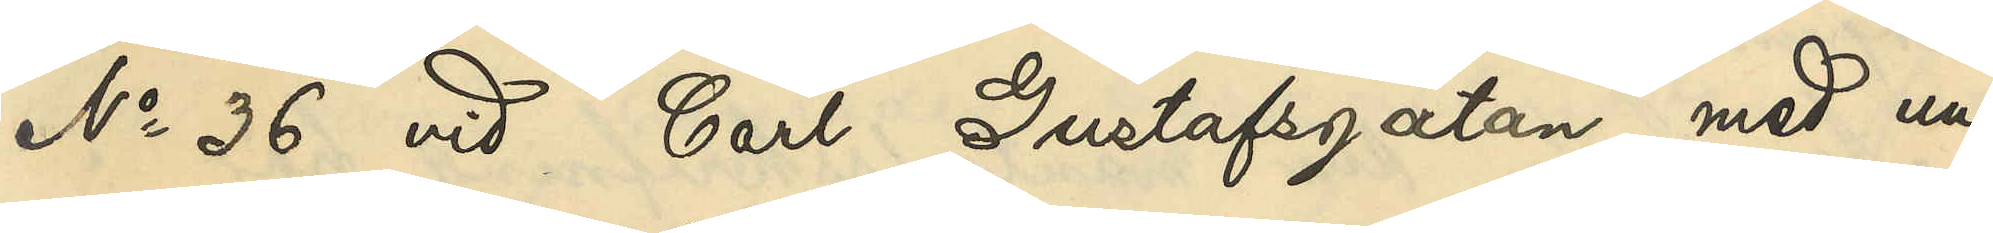No 36 vid Carl Gustafsgatan med un¬
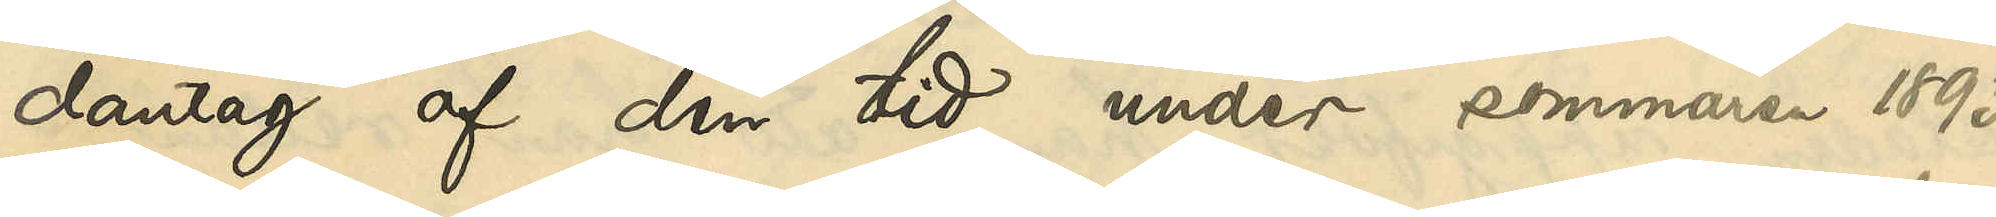dantag af den tid under sommaren 1893,
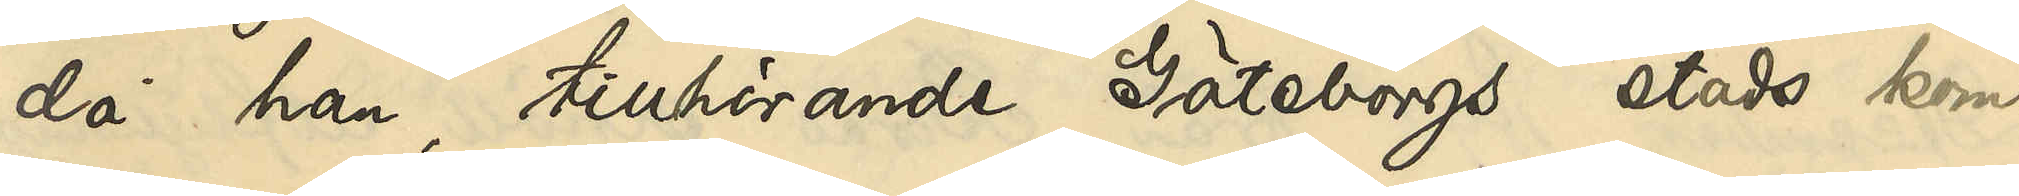då han, tillhörande Göteborgs stads kom¬
